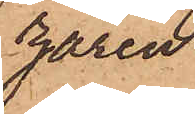zaren
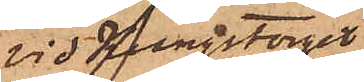vid Kungstorget
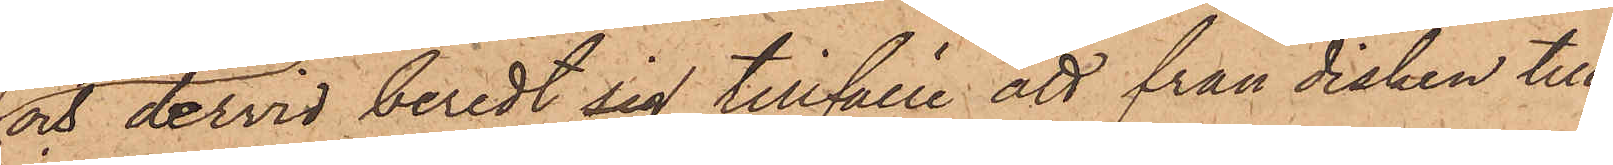och dervid beredt sig tillfälle att från disken till¬
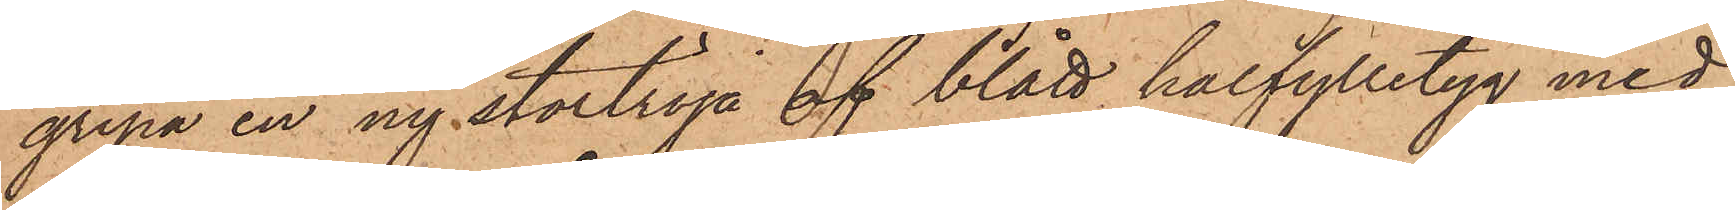gripa en ny stortröja af blått halfylletyg med
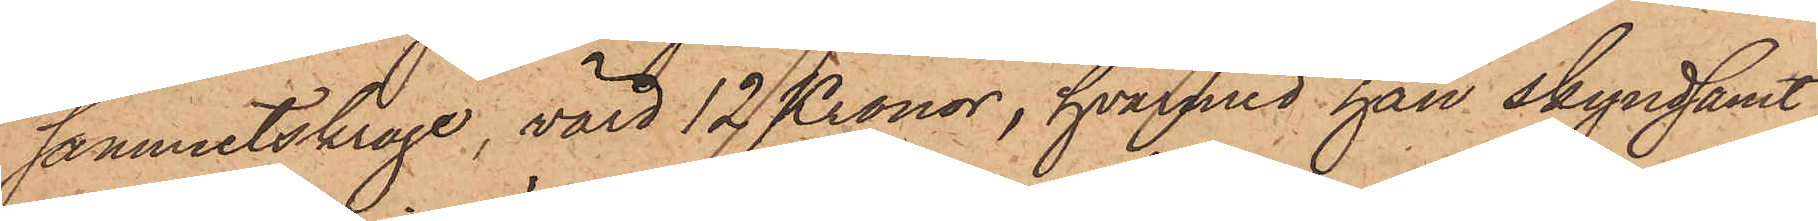sammetskrage, värd 12 Kronor, hvarmed han skyndsamt
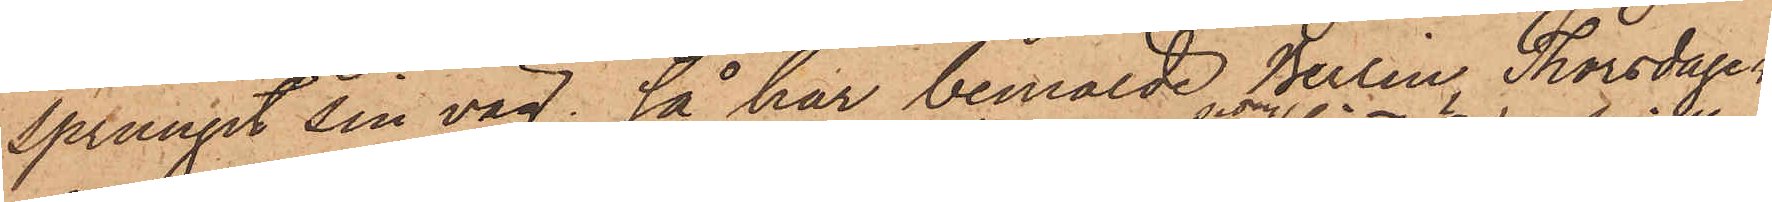sprungit sin väg; så har bemälde Berlin Thorsdagen
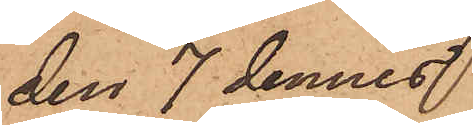den 7 dennes
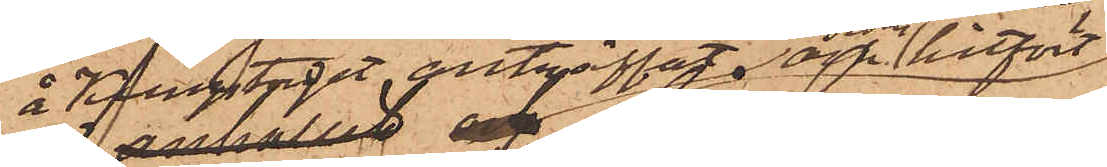å Kungstorget anträffat och sedan hitfört
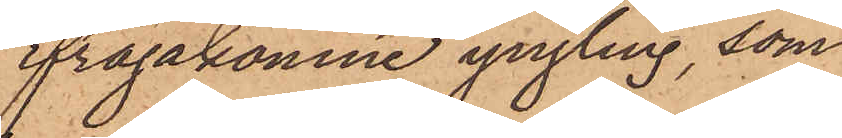ifrågakomne yngling, som
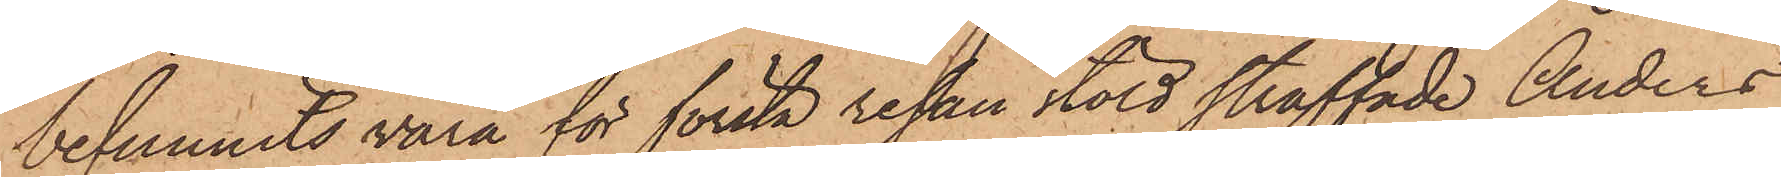befunnits vara för första resan stöld straffade Anders
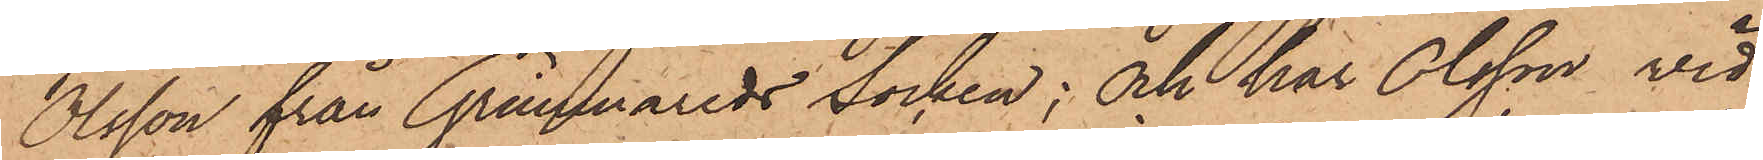Olsson från Grimmareds socken; och har Olsson vid
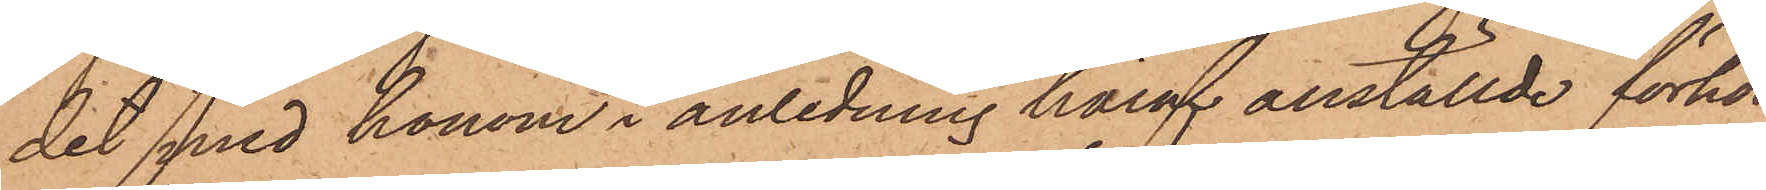det med honom i anledning häraf anställde förhör
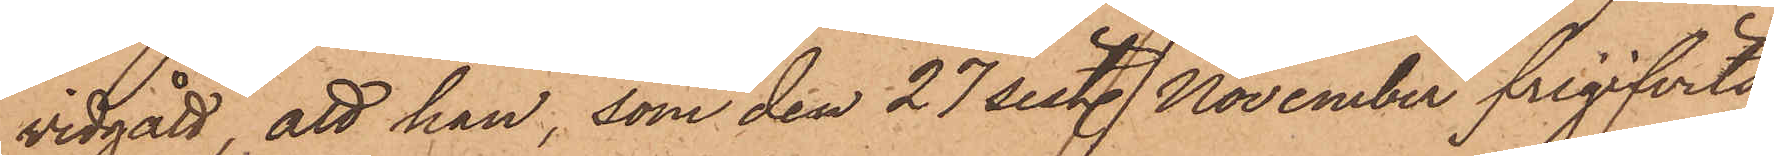vidgått, att han, som den 27 sist. November frigifvits
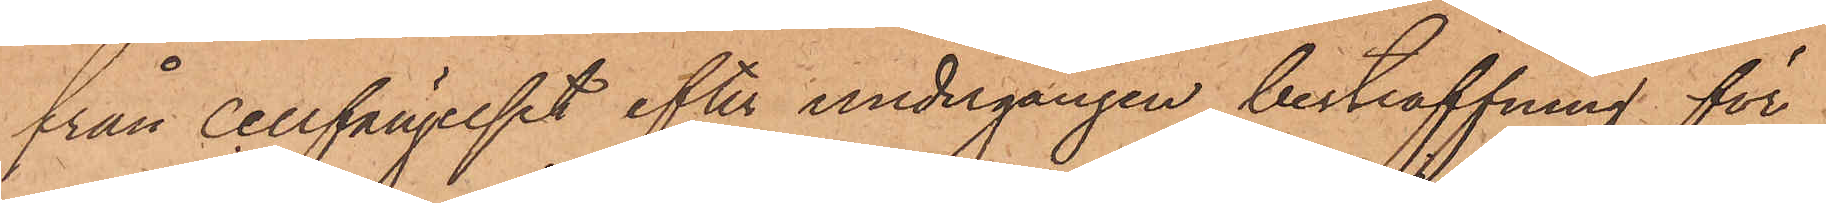från cellfängelset efter undergången bestraffning för
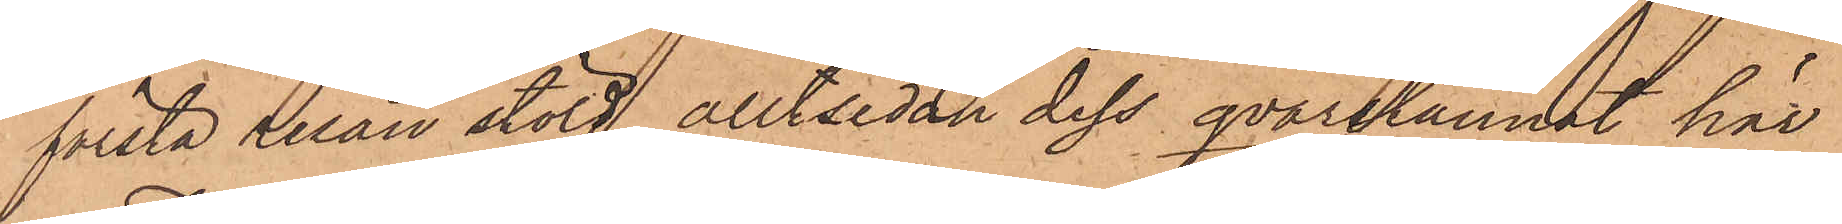första resan stöld, alltsedan dess qvarstannat här
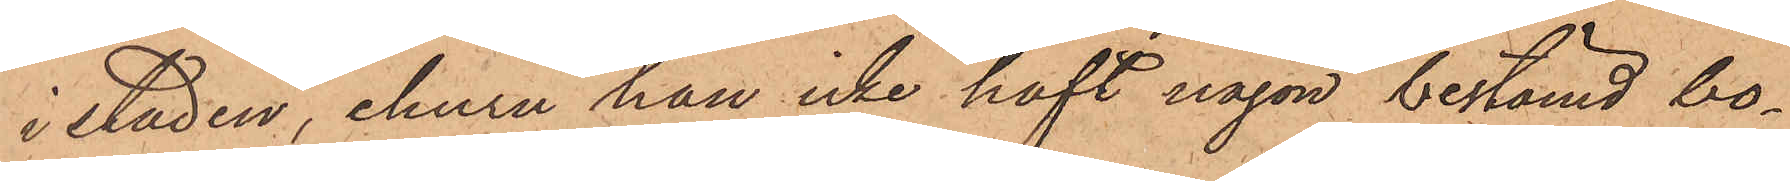i staden, ehuru han icke haft någon bestämd bo¬
